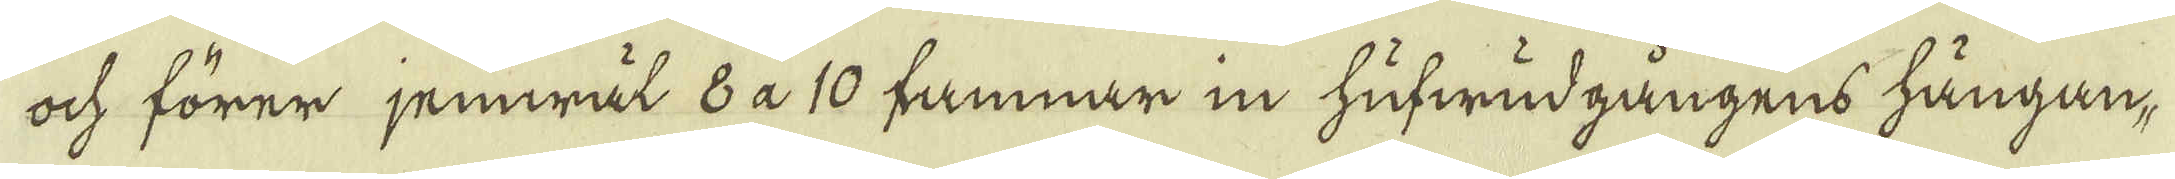ock förer jemwäl 8 a 10 famnar in hufwudgångens hängan-
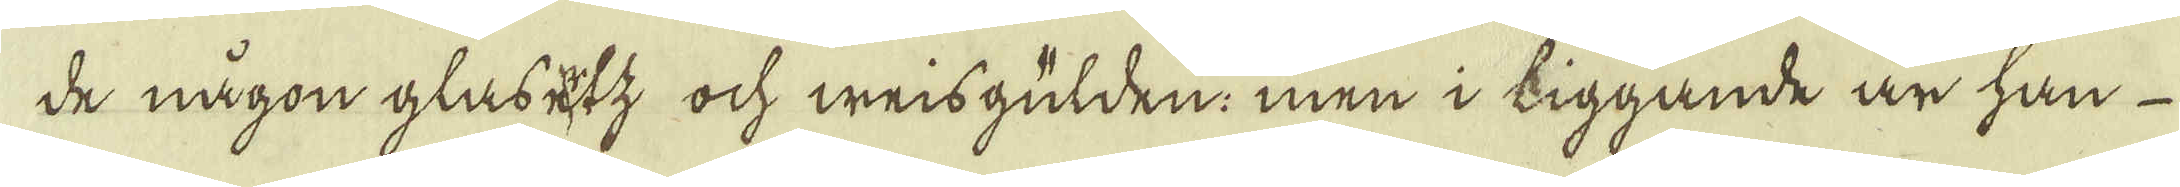de någon gläsetz och weisgülden: men i liggande är han
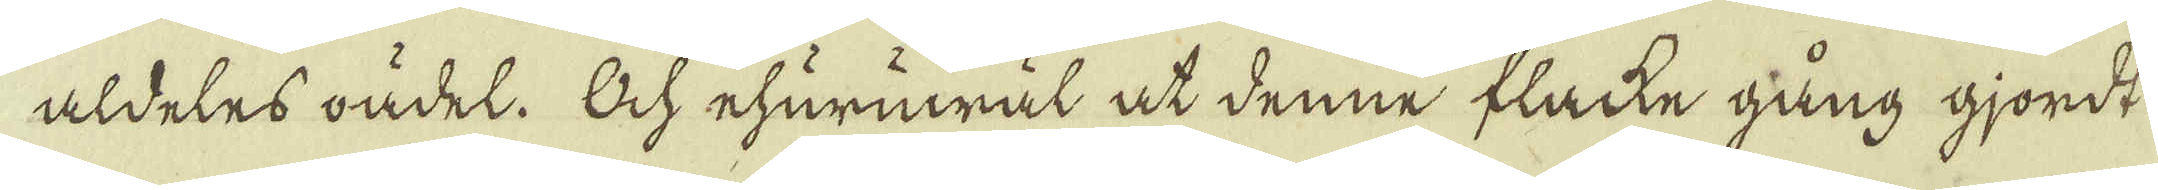aldeles ondel. Och ehurmwäl at denne flacke gång gjordt
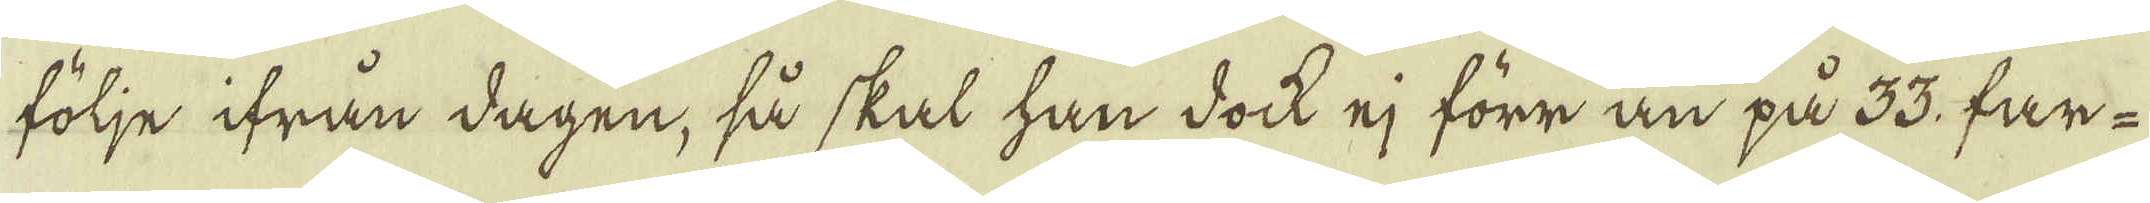följe ifrån dagen, så skal han dock ej förr än på 33. far-
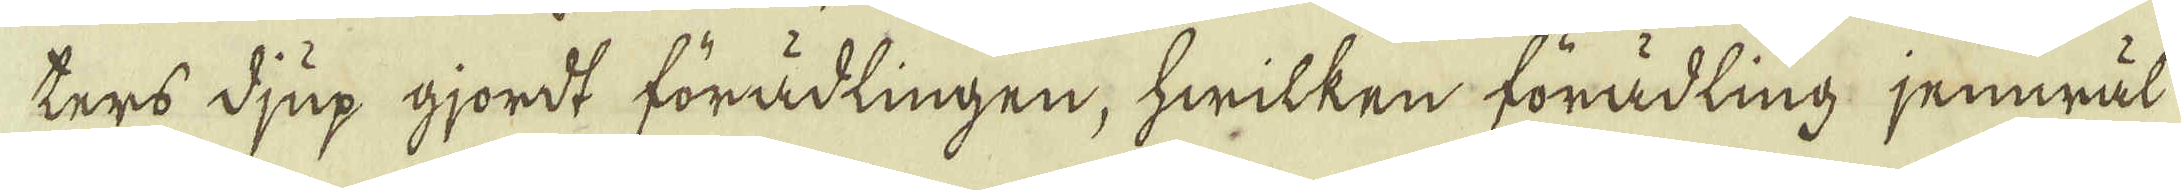ters djup gjordt förädlingen, hwilken förädling, jemwäl
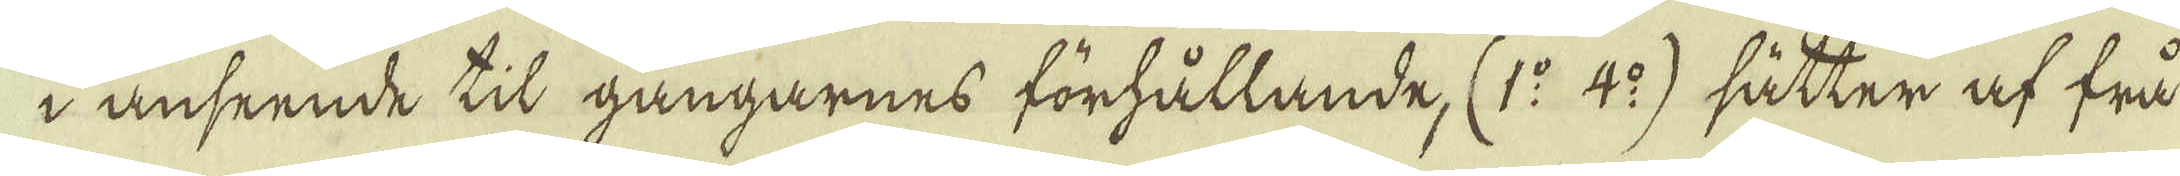i anseende til gångarnes förhållande, (1:o 4:o) sätter af frå
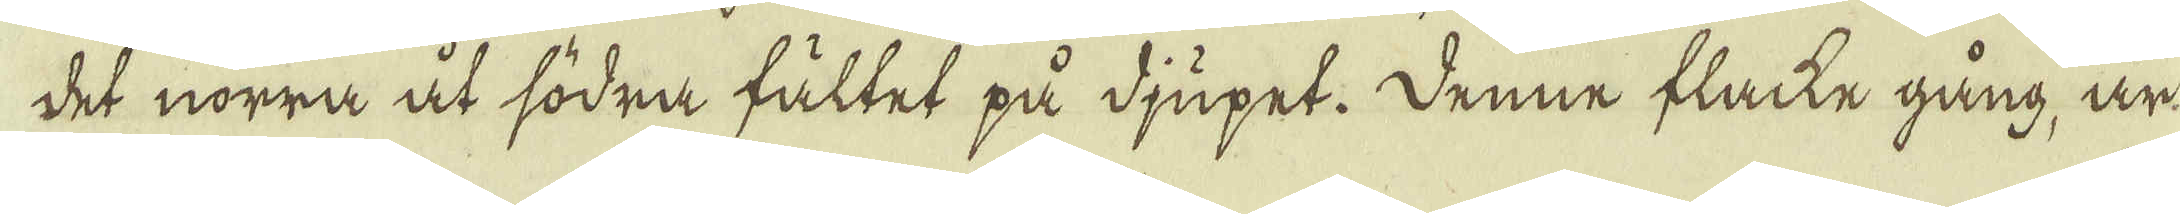det norra åt södra fältet på djupet. Denne flacke gång, är
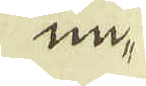un-
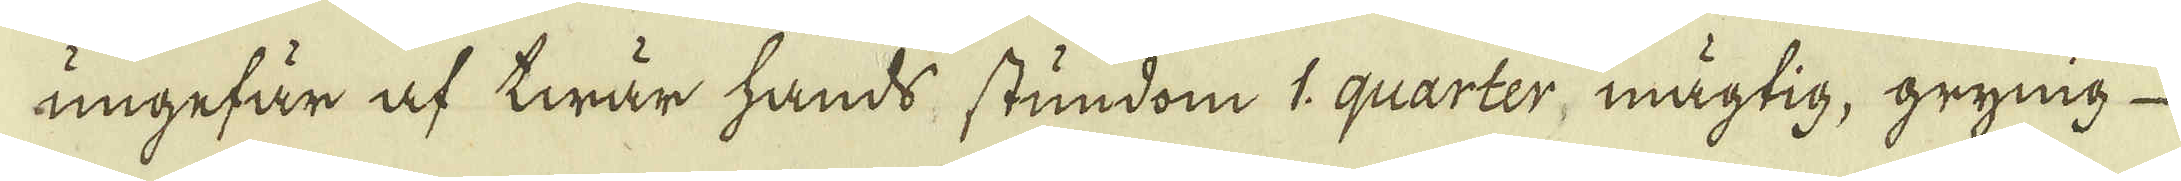ungefär af twär hands stundom 1: quarter, mägtig, grynig
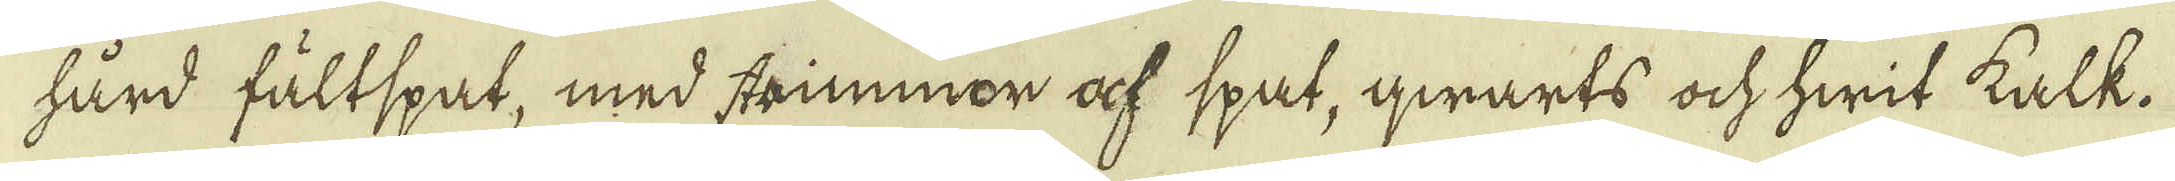hård fältspat, med strimmor af spat, qwarts ock hwit kalk.
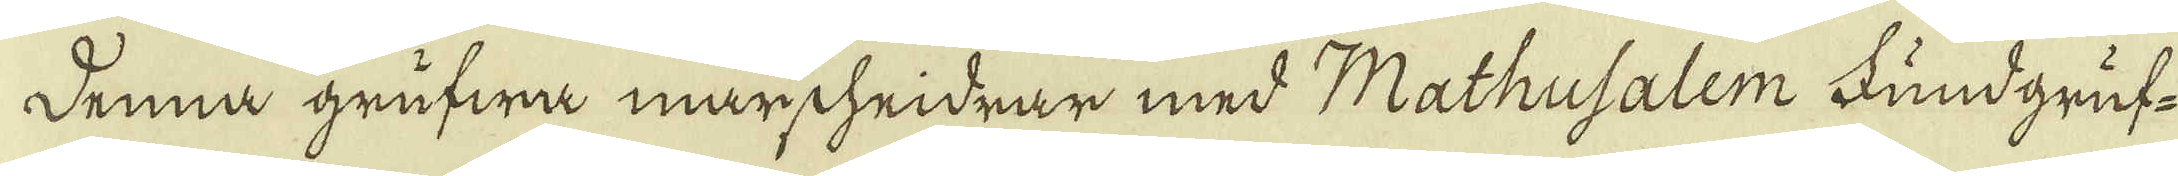Denna grufwa märscheidrar med Mathusalem Fundgruf-
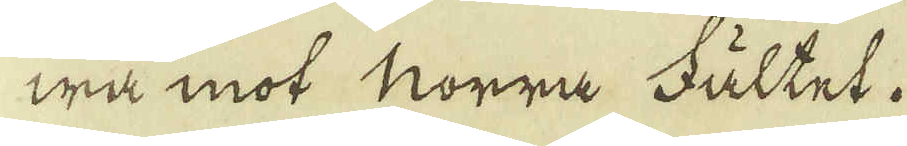wa mot Norra Fältet.
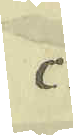c.
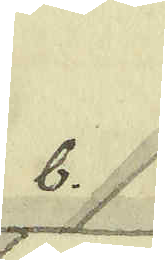b.
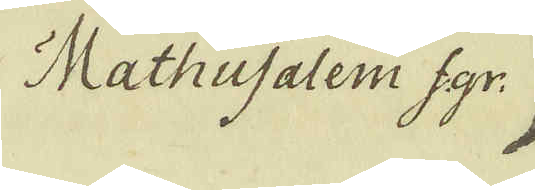Mathusalem f.gr.
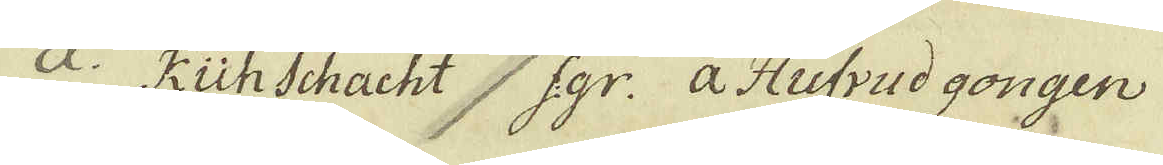a. kuhschacht f:gr: a. Hufvud gongen
